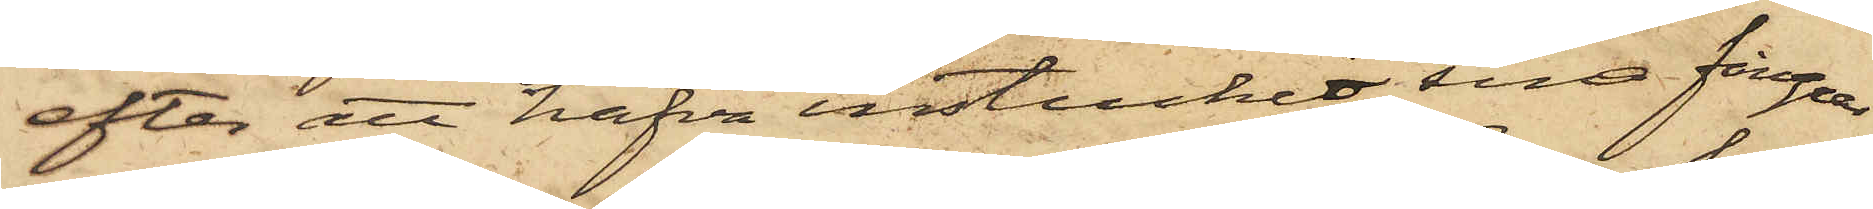efter att hafva instuckit sina fingrar
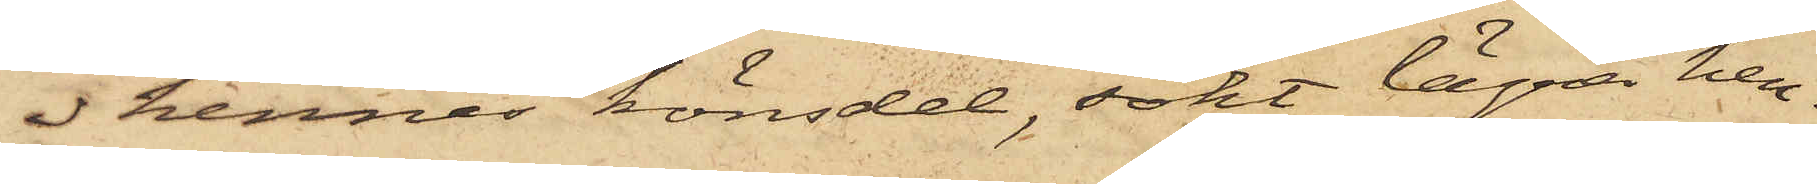i hennes könsdel, sökt lägra hen¬
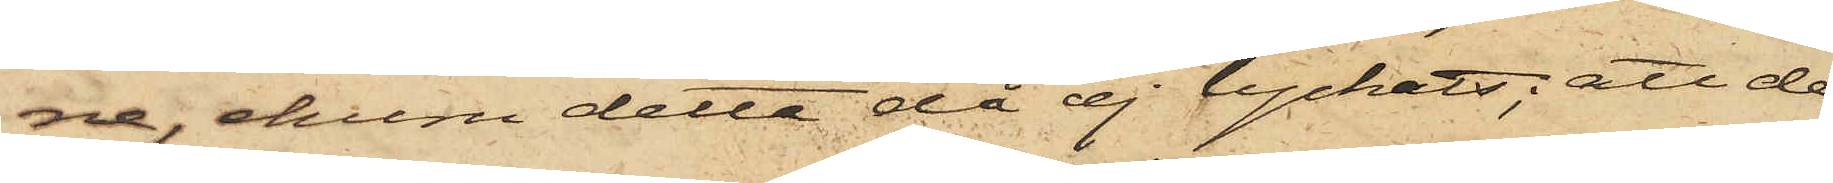ne, ehuru detta då ej lyckats; att de
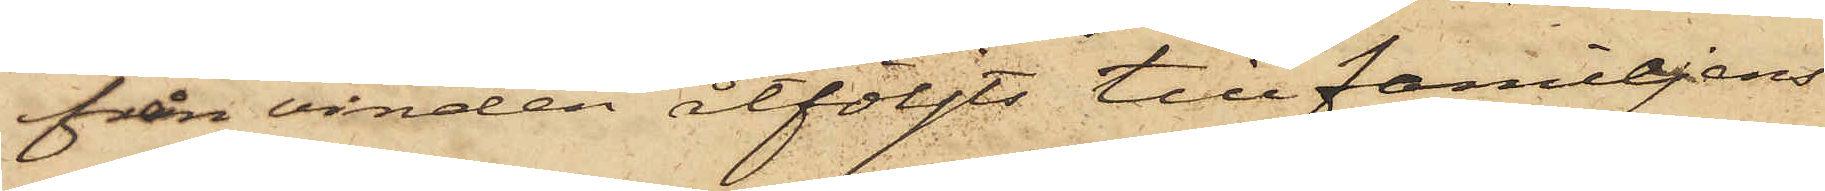från vinden åtföljts till familjens
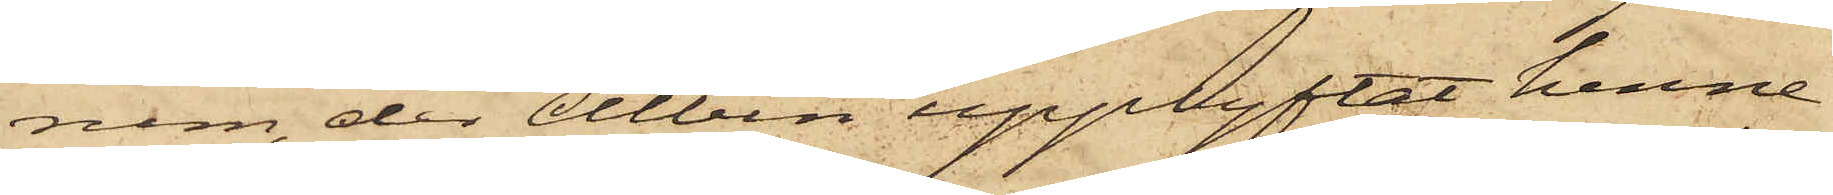rum, der Albin upplyftat henne
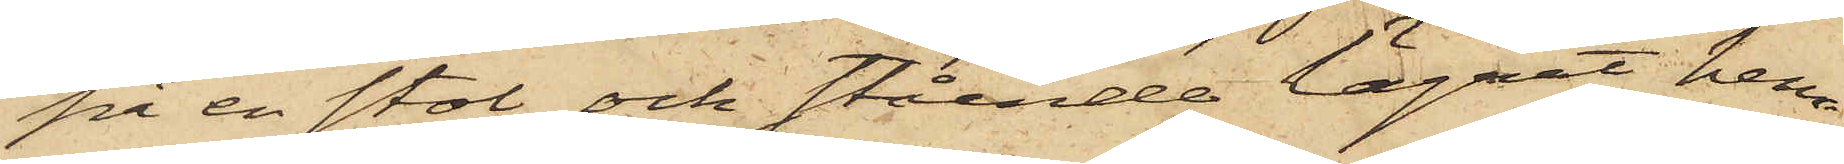på en stol och stående lägrat hen¬
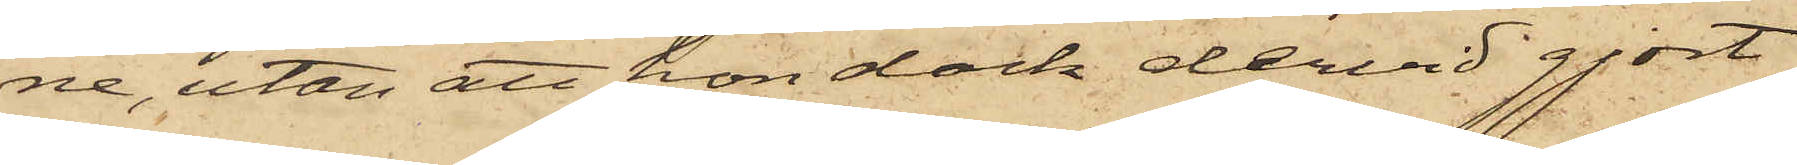ne, utan att hon dock dervid gjort
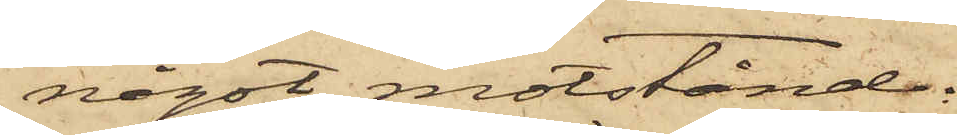något motstånd.
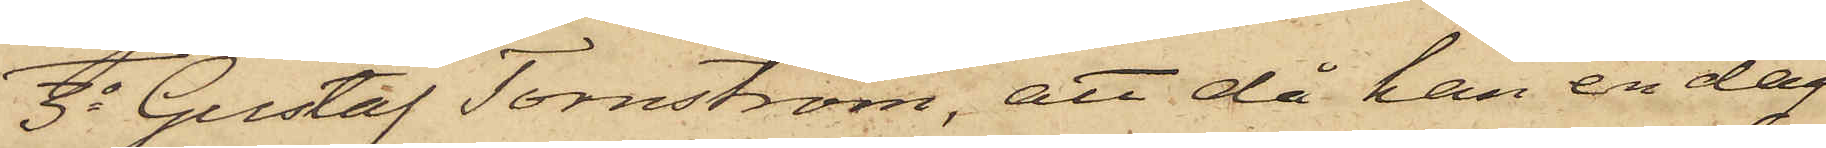3o Gustaf Tornström, att då han en dag
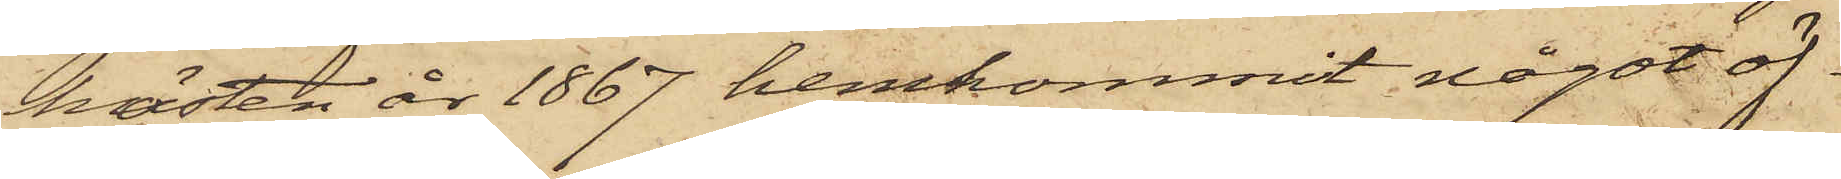hösten år 1867 hemkommit något öf¬
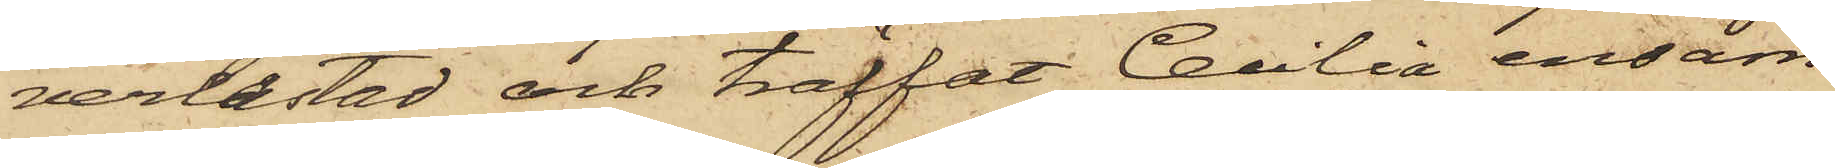verlastad och träffat Cecilia ensam
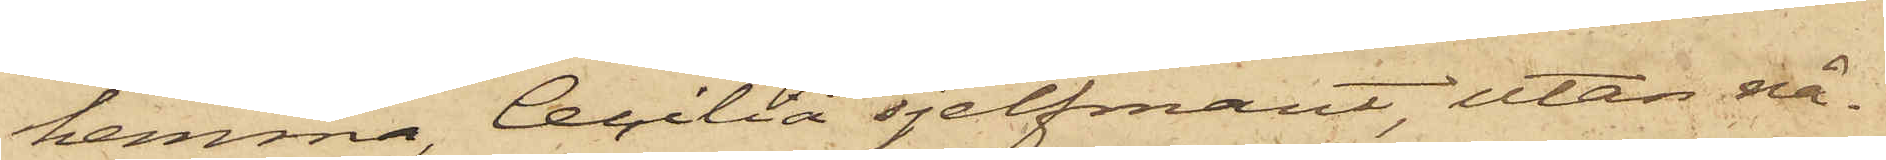hemma, Cecilia sjelfmant, utan nå¬
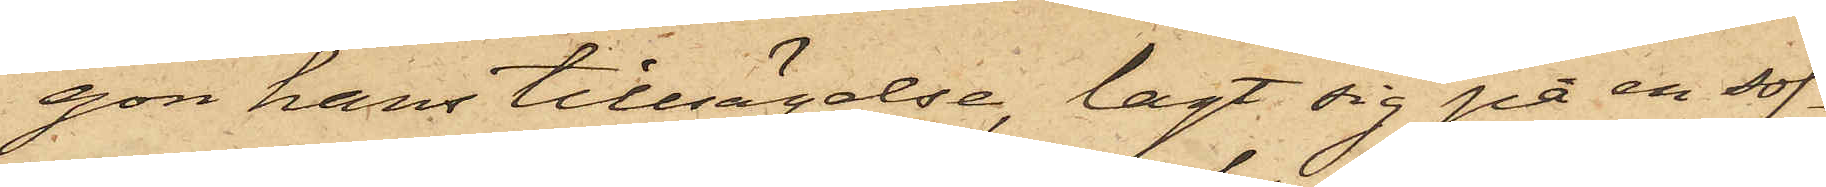gon hans tillsägelse, lagt sig på en sof¬
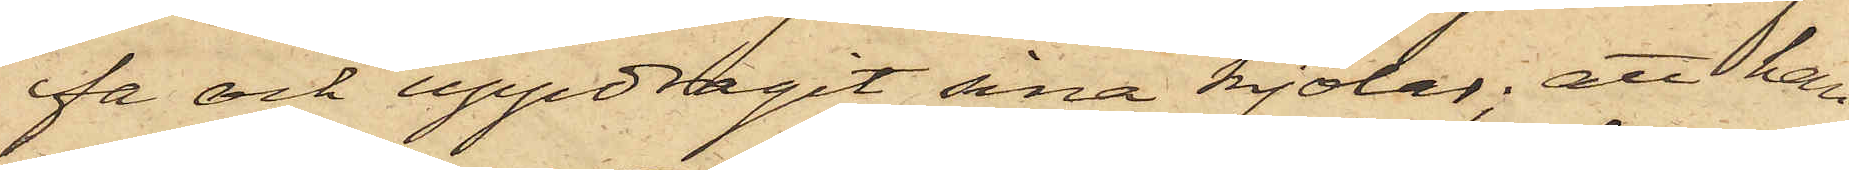fa och uppdragit sina kjolar; att han
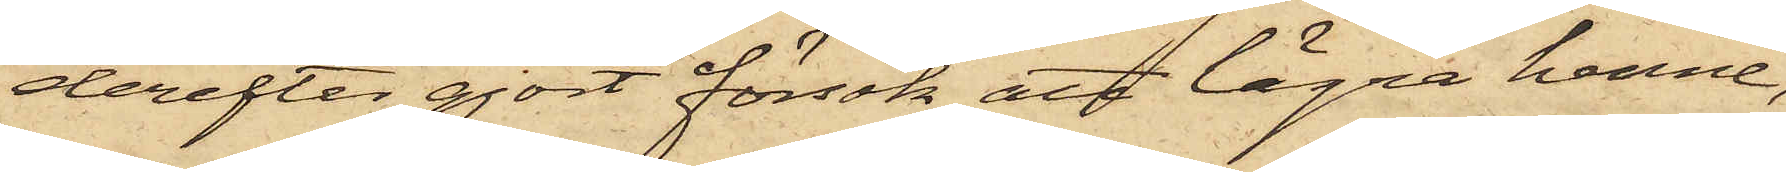derefter gjort försök att lägra henne,
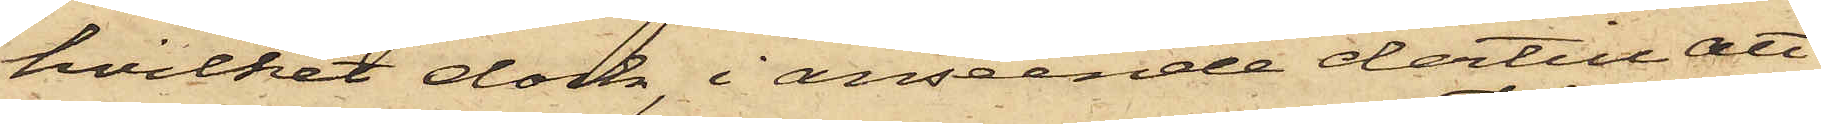hvilket dock, i anseende dertill att
